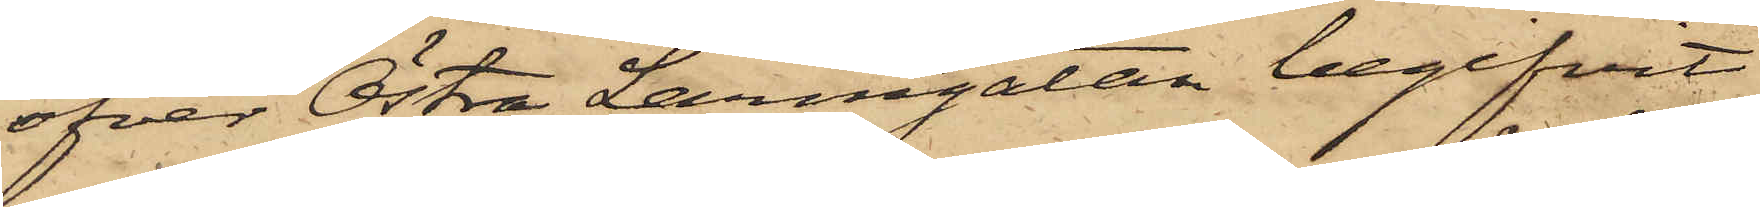öfver Östra Larmgatan begifvit
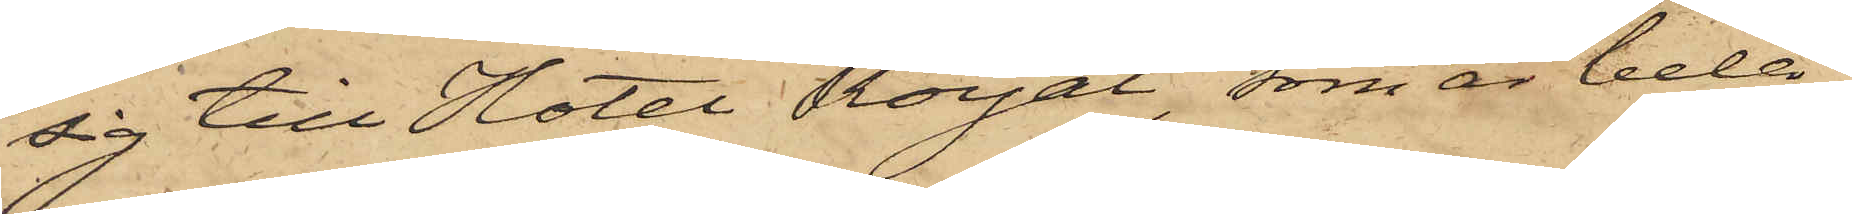sig till Hotel Royal, som är belä¬
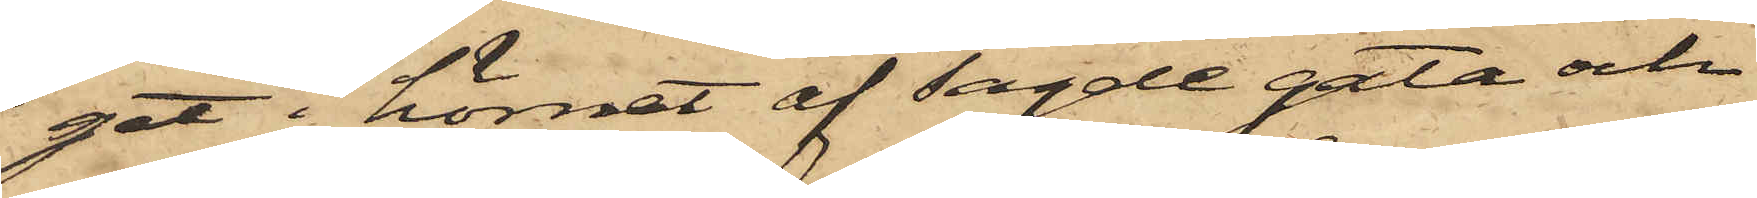get i hörnet af sagde gata och
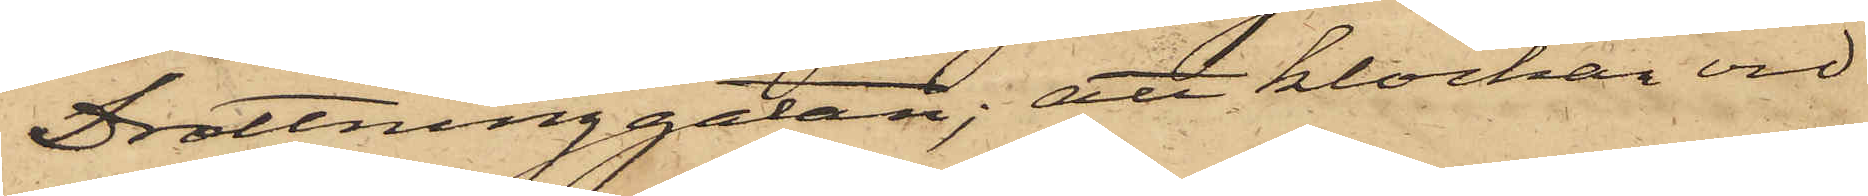Drottninggatan; att klockan vid
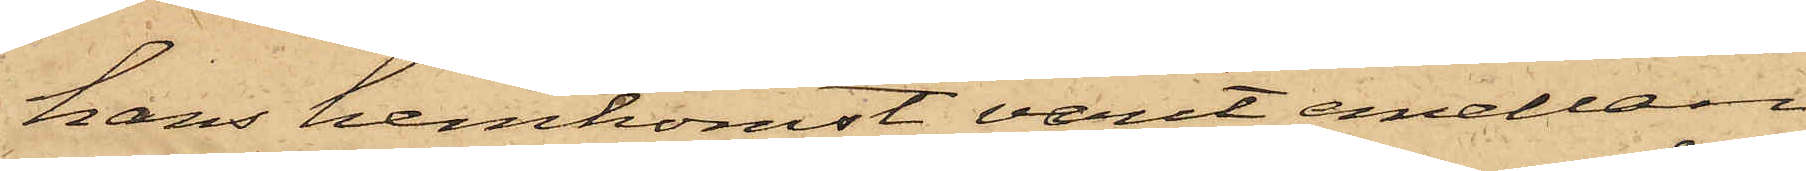hans hemkomst varit emellan
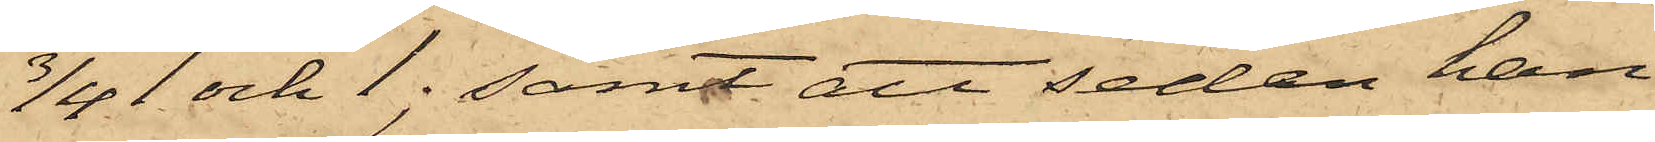3/4 1 och 1; samt att sedan han
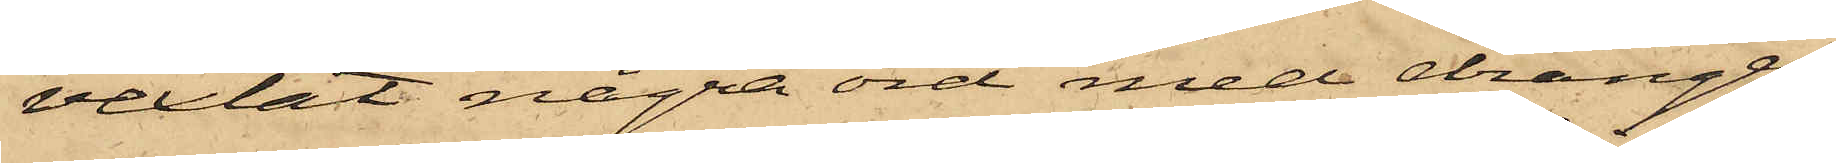velat några ord med drängen
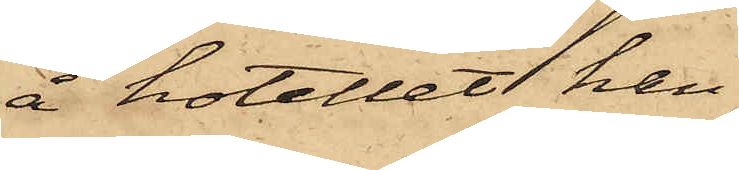å hotellet han
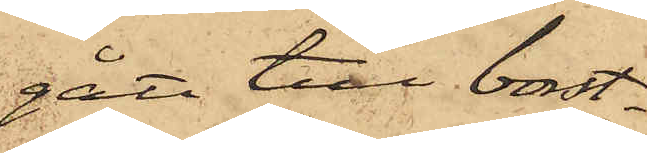gått till borst¬
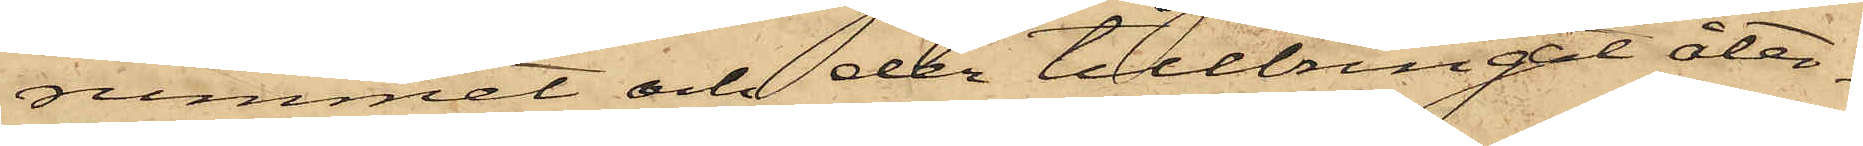rummet och der tillbringat åter¬
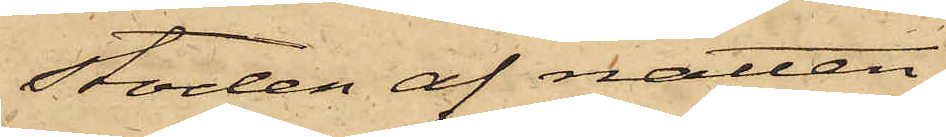stoden af natten.
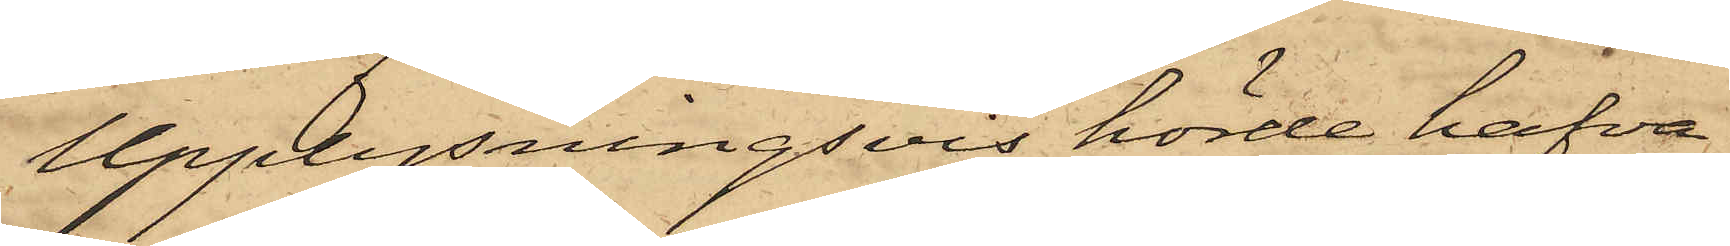Upplysningsvis hörde hafva
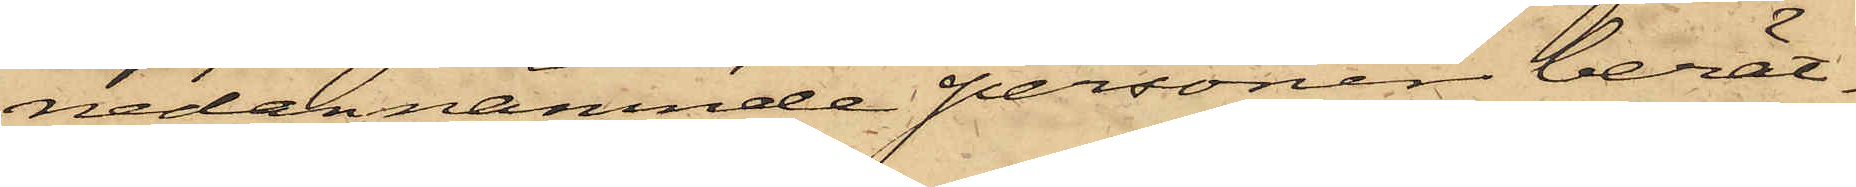nedannämnde personen berätt¬
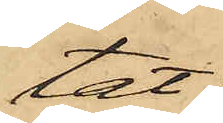tat:
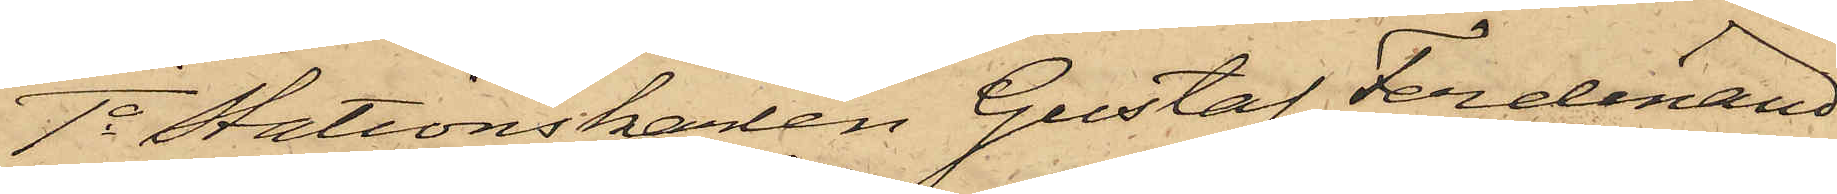1o Stationskaren Gustaf Ferdinand
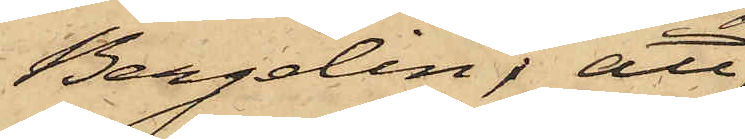Bergelin; att
